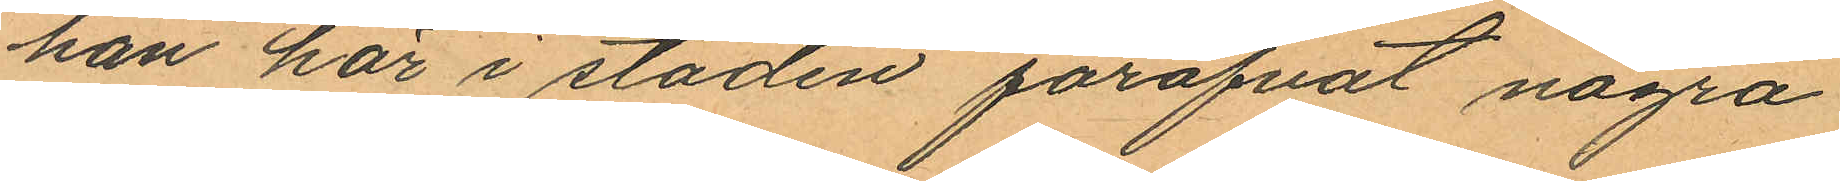han här i staden föröfvat några
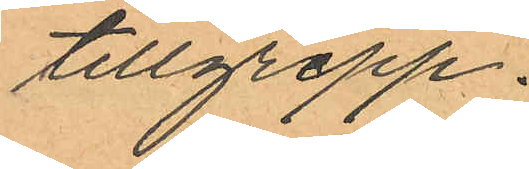tillgrepp.
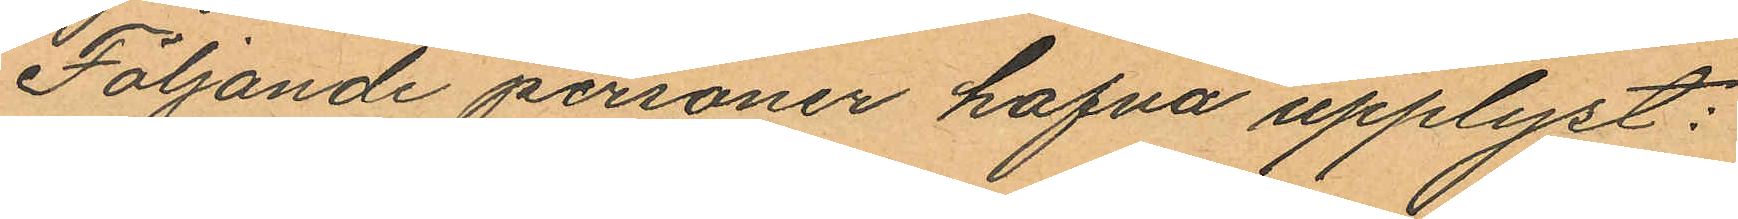Följande personer hafva upplyst:
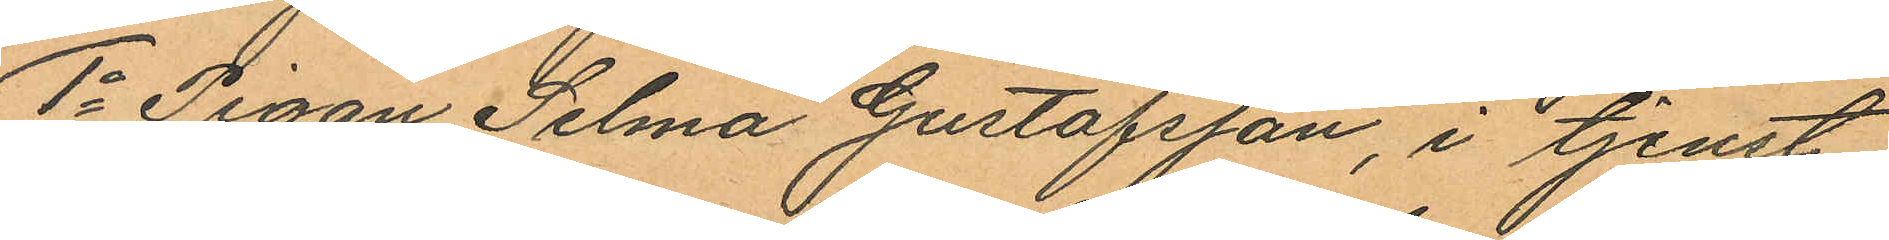1o Pigan Selma Gustafsson, i tjenst
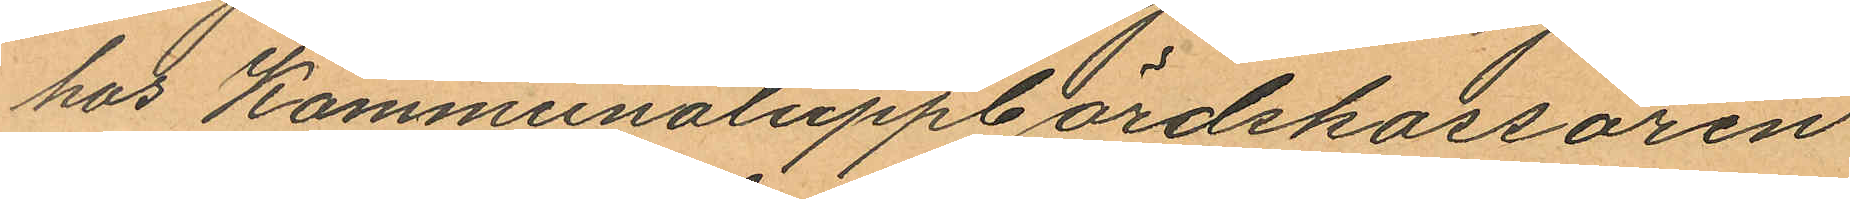hos Kommunaluppbördskassören
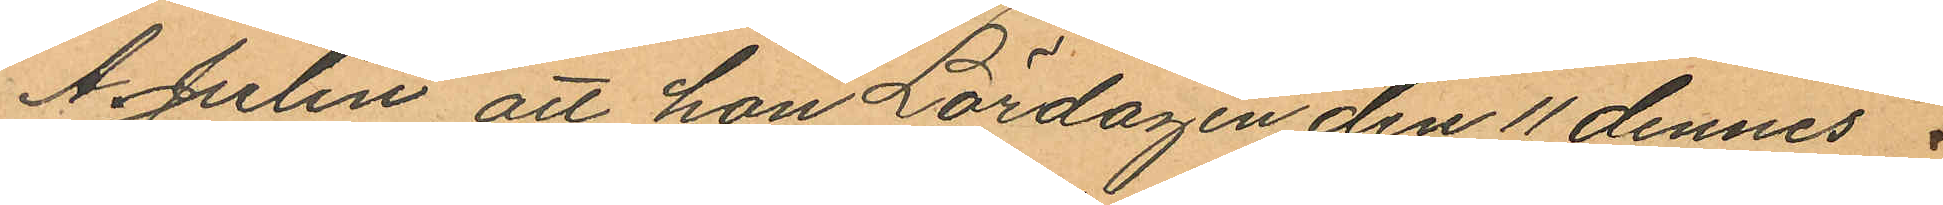A. Julin att hon Lördagen den 11 dennes 
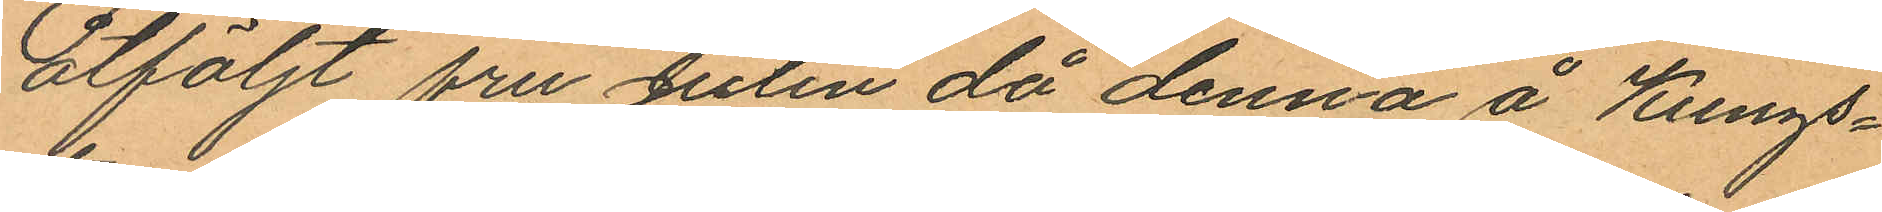åtföljt fru Julin då denna å Kungs¬
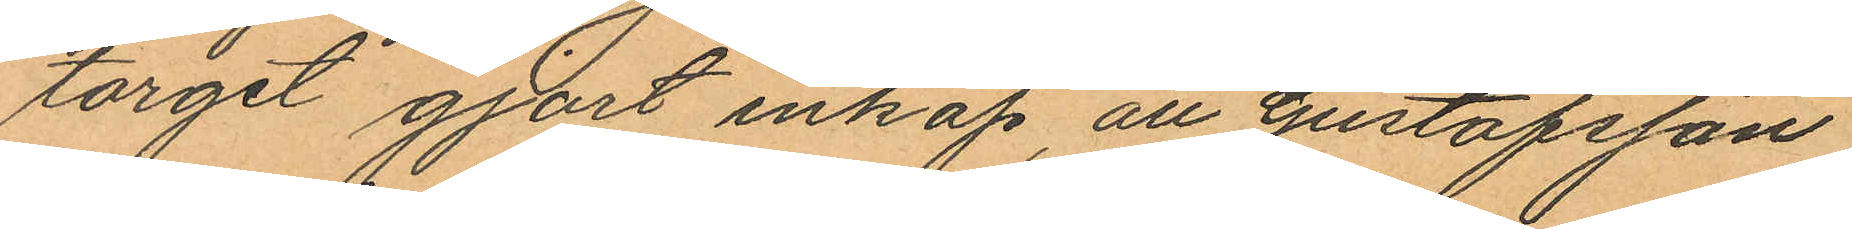torget gjort inköp, att Gustafsson
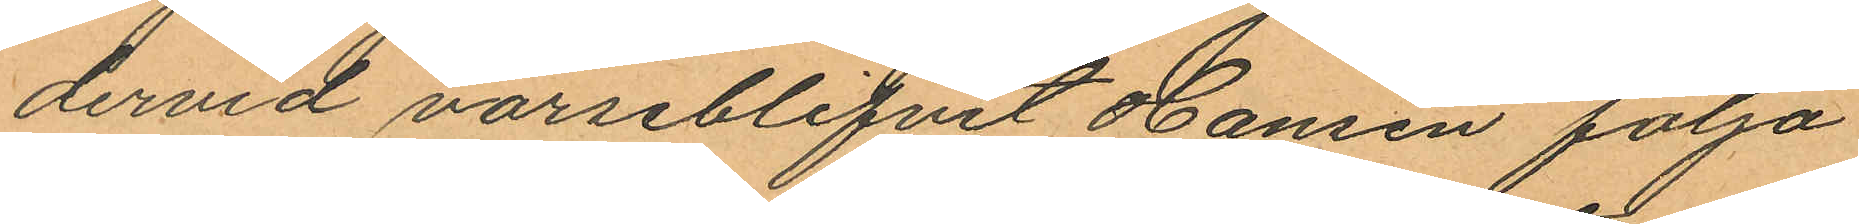dervid varseblifvit Hansen följa
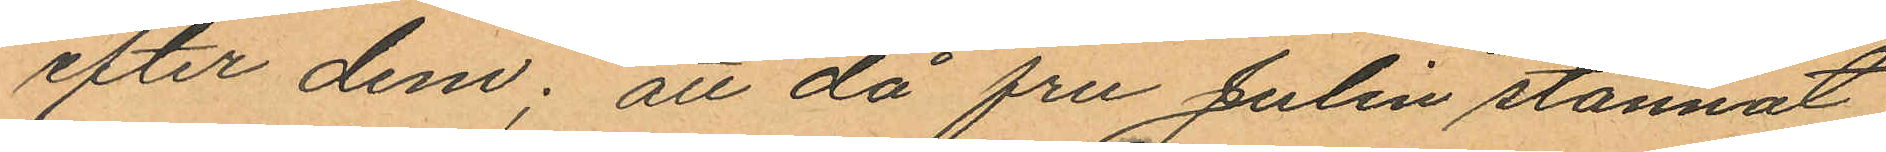efter dem; att då fru Julin stannat
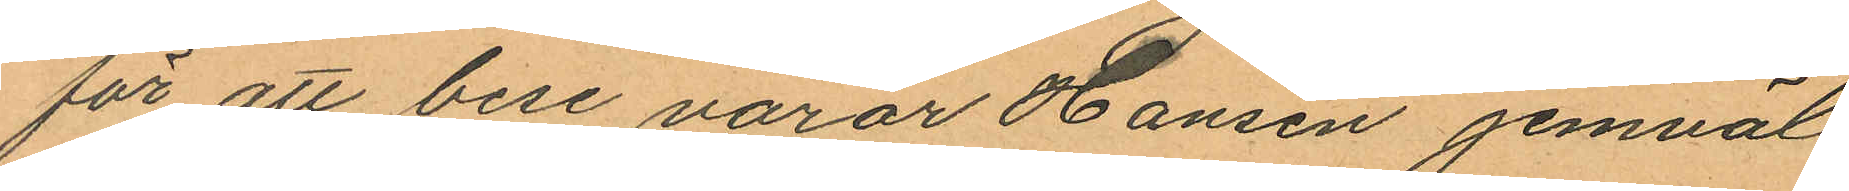för att bese varor Hansen jemväl
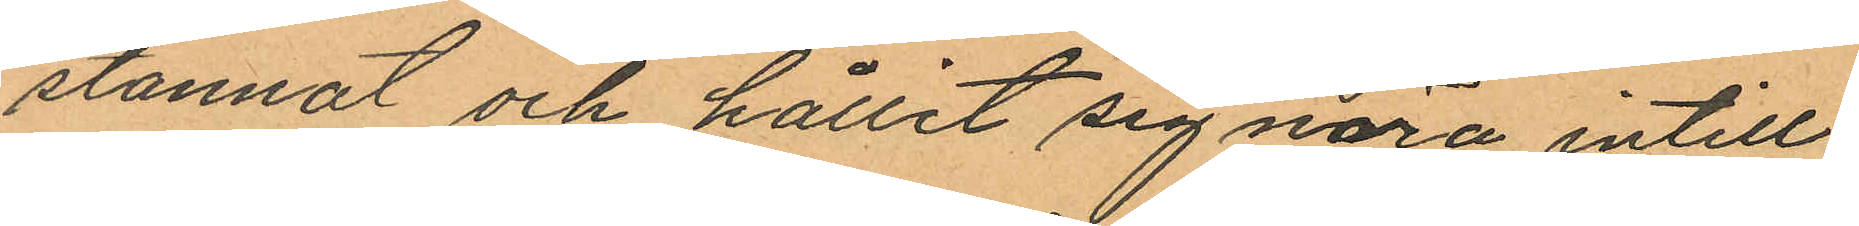stannat och hållit sig nära intill
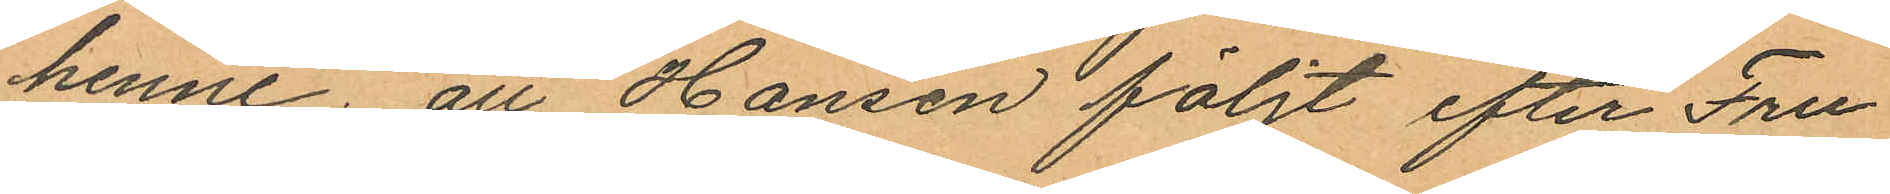henne att Hansen följt efter Fru
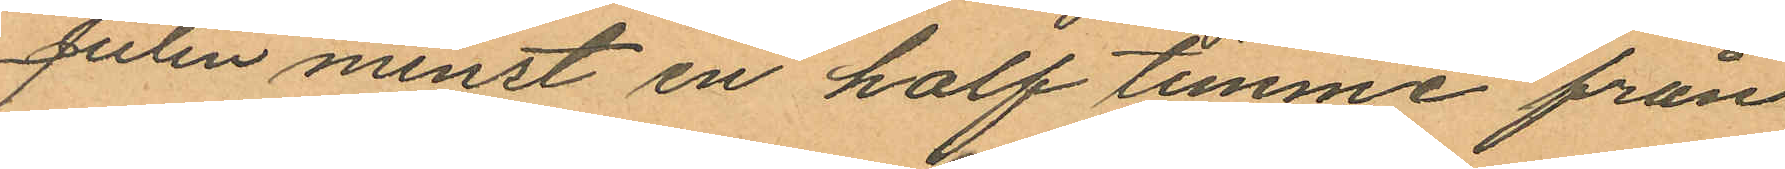Julin minst en half timme från
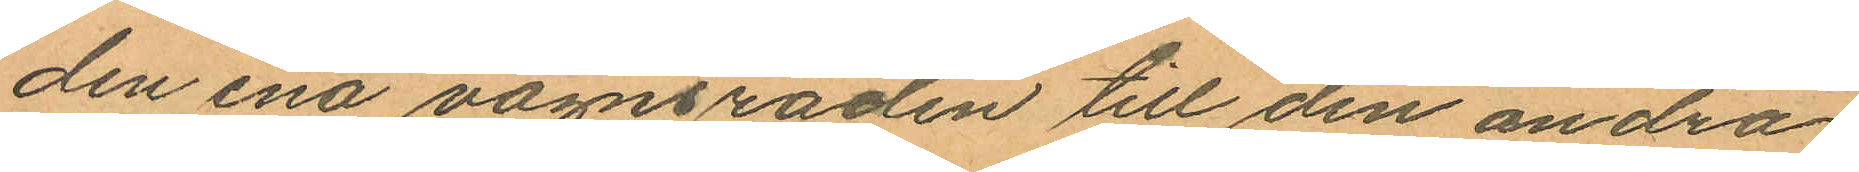den ena vagnsraden till den andra
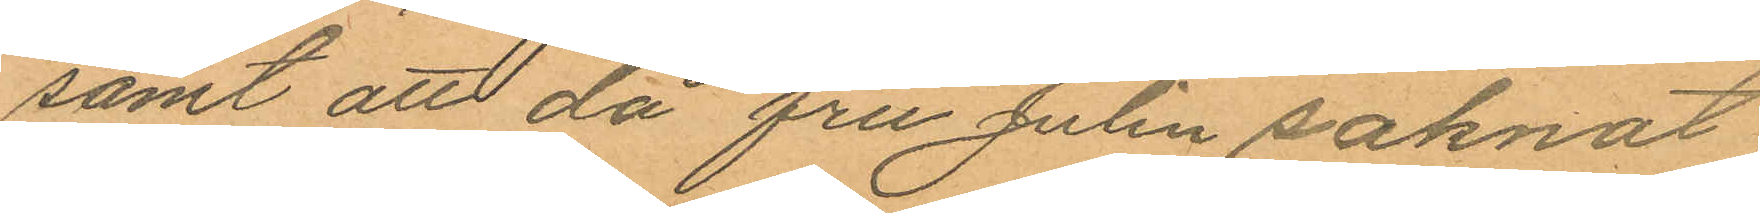samt att då fru Julin saknat
